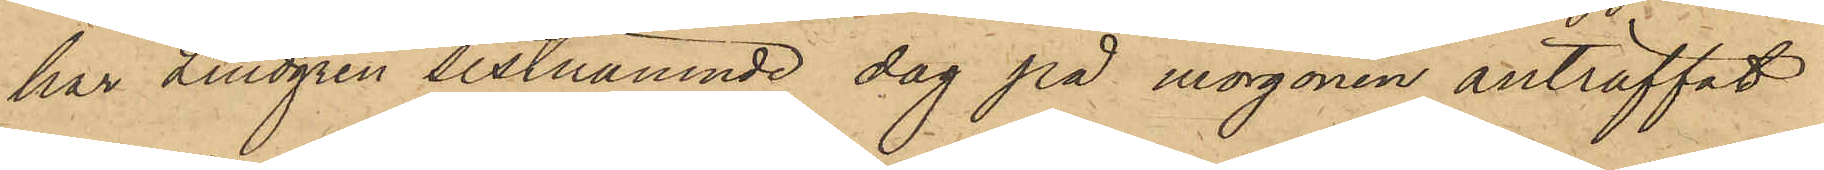har Lindgren sistnämnde dag på morgonen anträffat
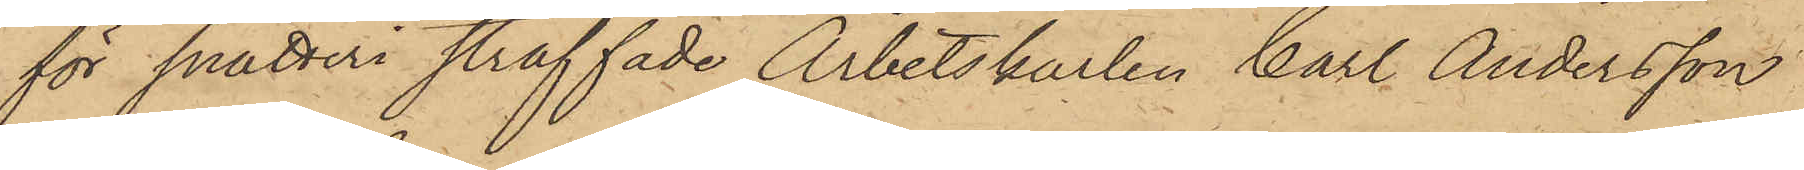för snatteri straffade Arbetskarlen Carl Andersson
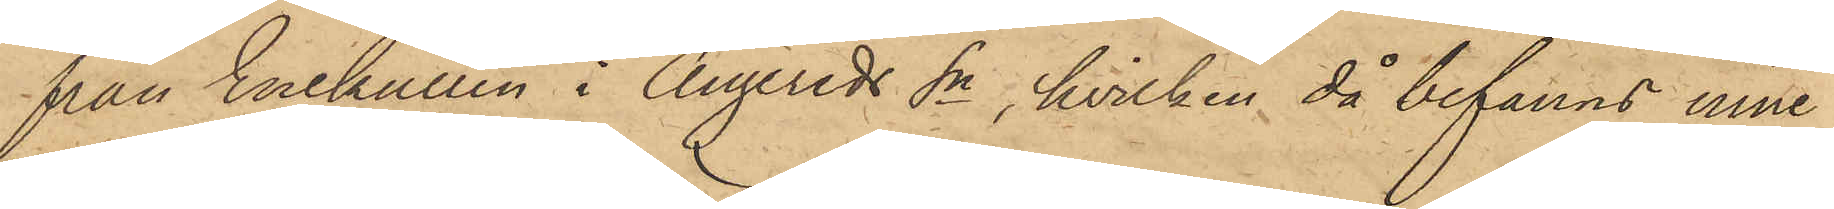från Enekullen i Angereds Sn, hvilken då befanns inne¬
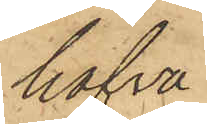hafva
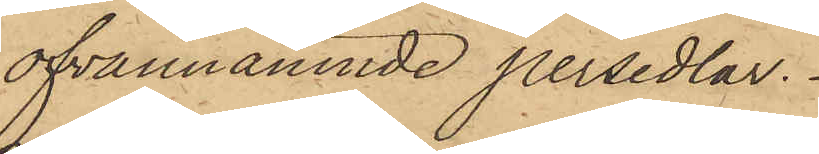ofvannämnde persedlar.
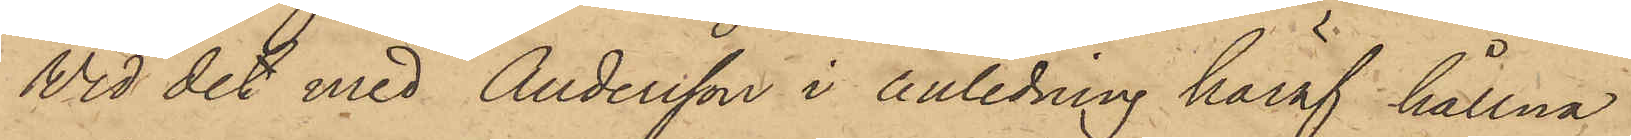Vid det med Andersson i anledning häraf hållna
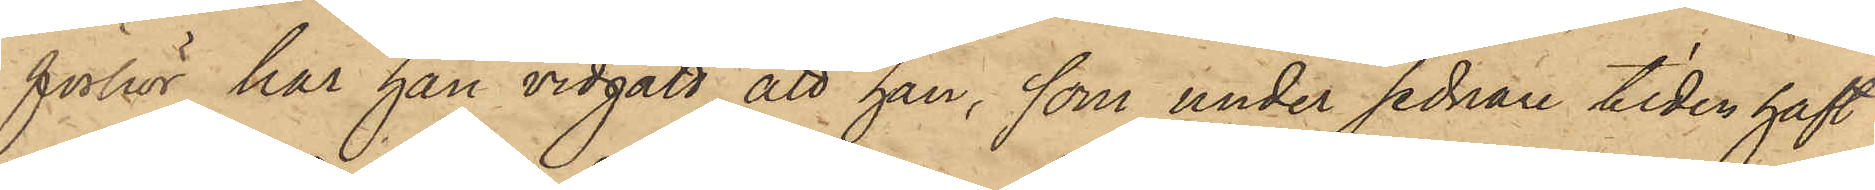förhör har han vidgått att han, som under sednare tiden haft
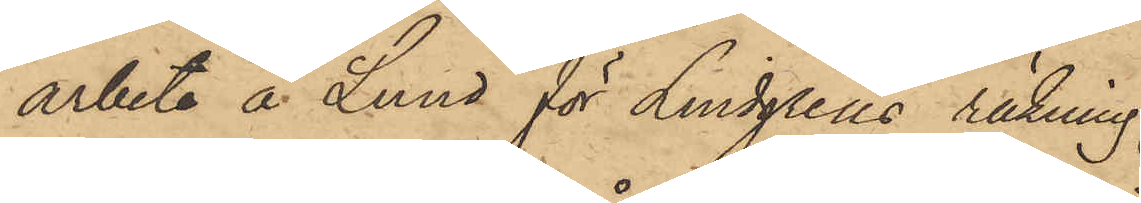arbete å Lund för Lindgrens räkning
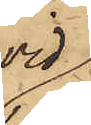vid
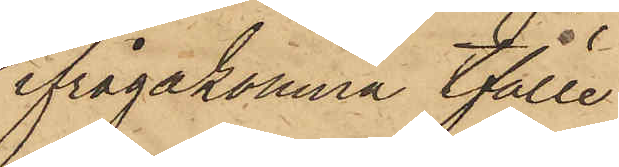ifrågakomne tfälle,
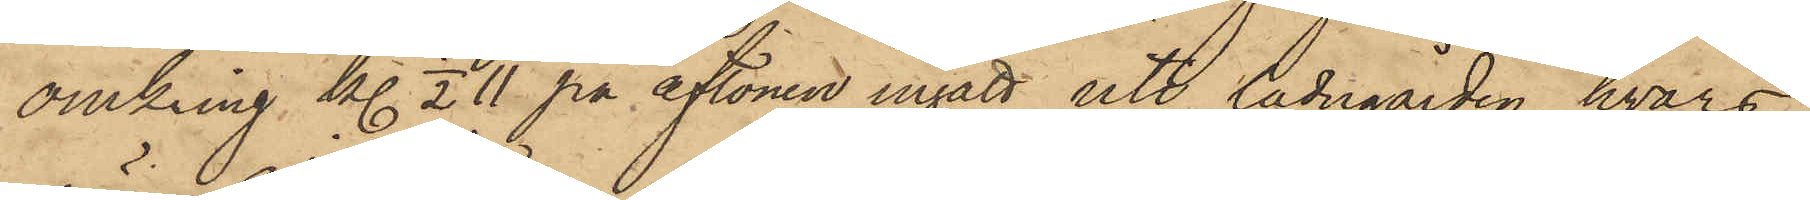omkring kl. 1/2 11 på aftonen ingått uti ladugården, hvars
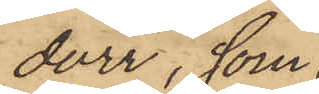dörr, som
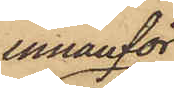innanför
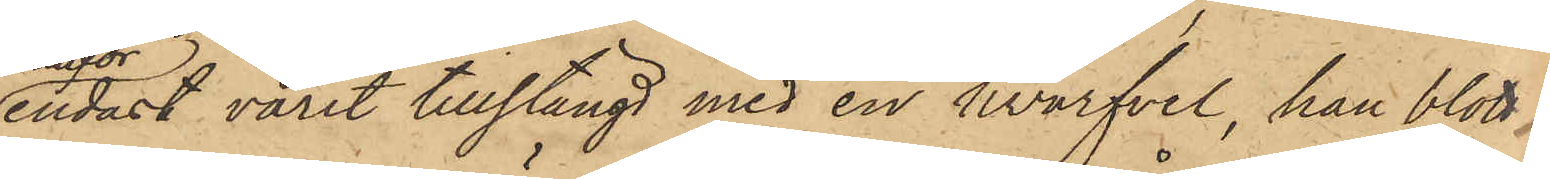endast varit tillstängd med en hvarfvel, han blott
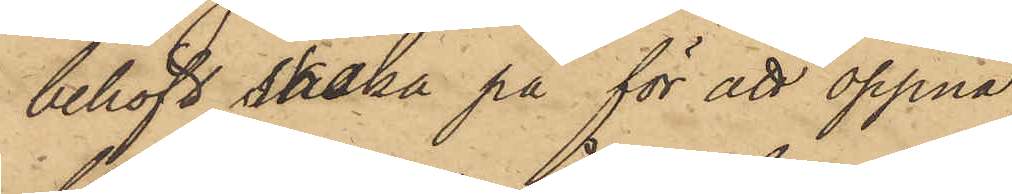behöft skaka på för att öppna;
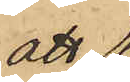att
